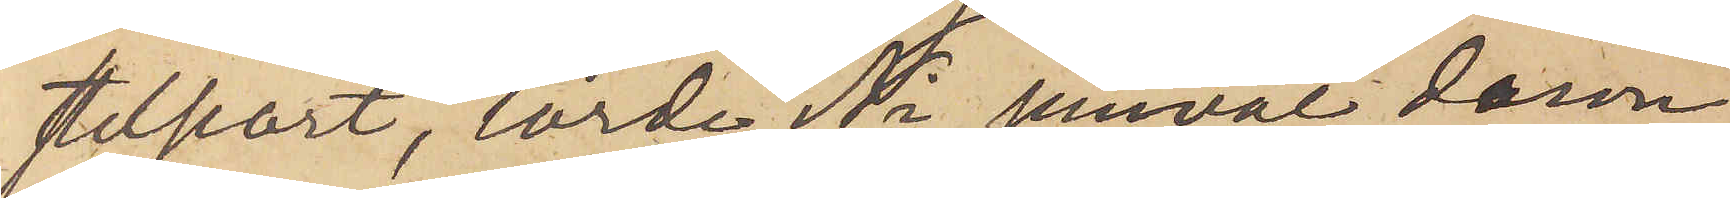stelseort, torde Ni jemväl derom
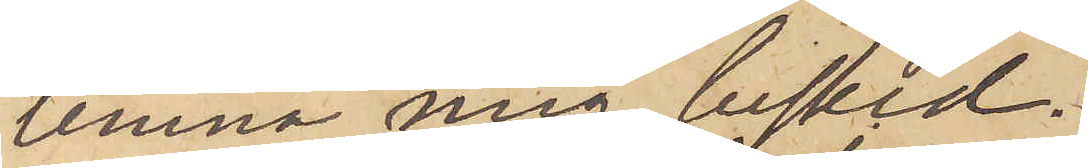lemna mig besked.
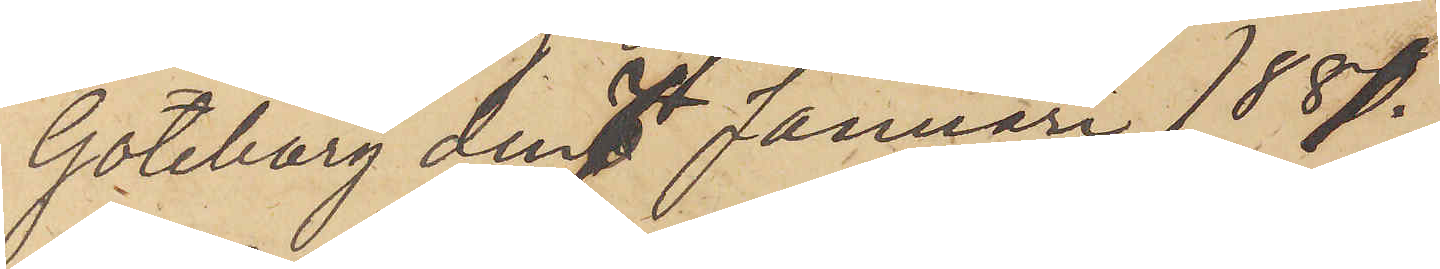Göteborg den 7 Januari 1881.
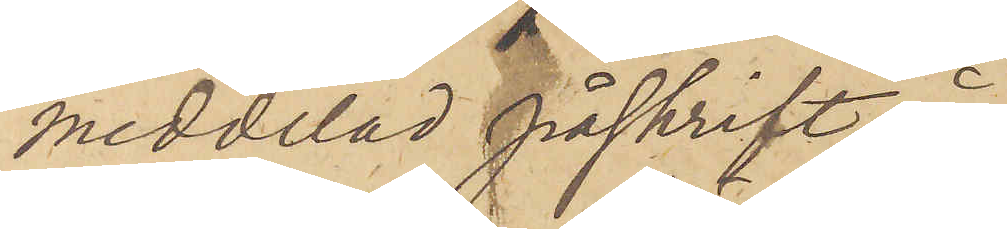meddelad påskrift å
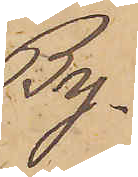By¬
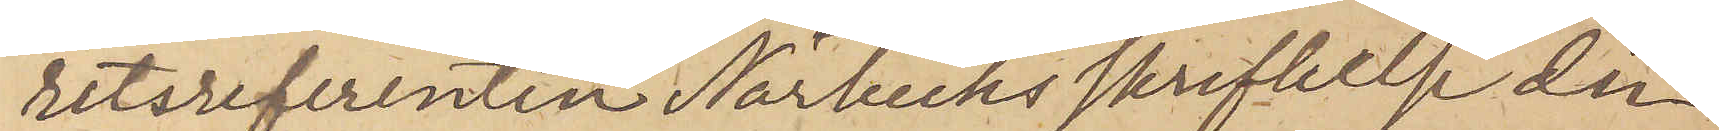retsreferenten Närbecks skrifvelse den
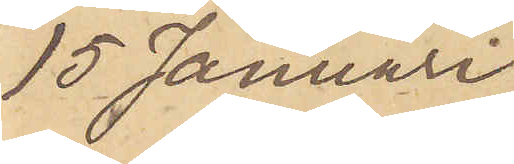15 Januari
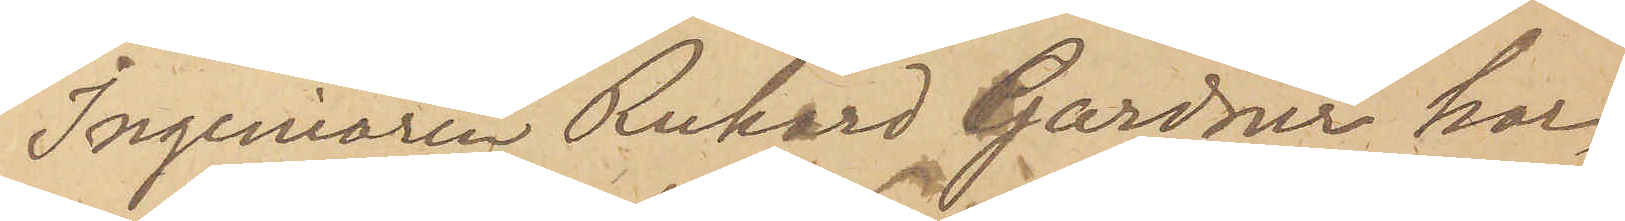Ingeniören Rickard Gardner har,
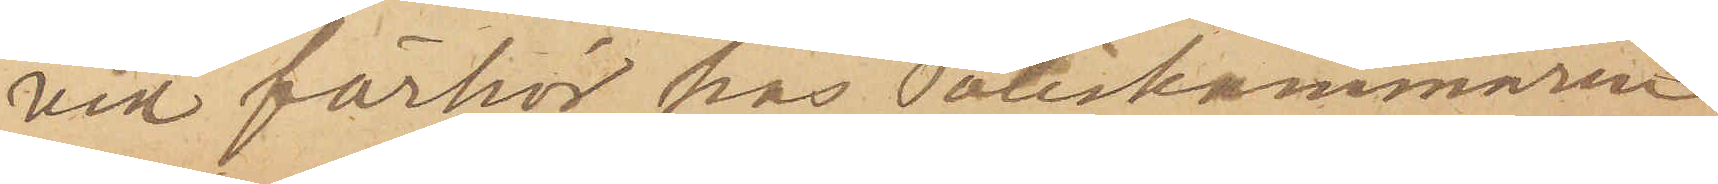vid förhör hos Poliskammaren
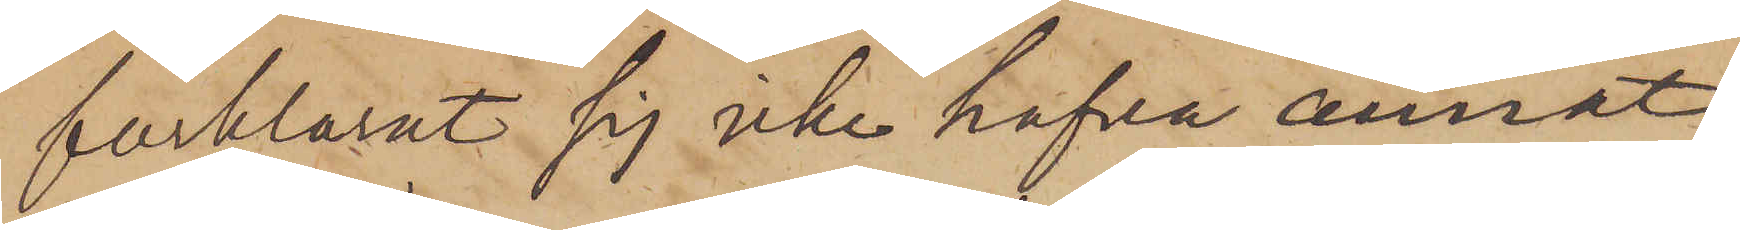förklarat sig icke hafva annat
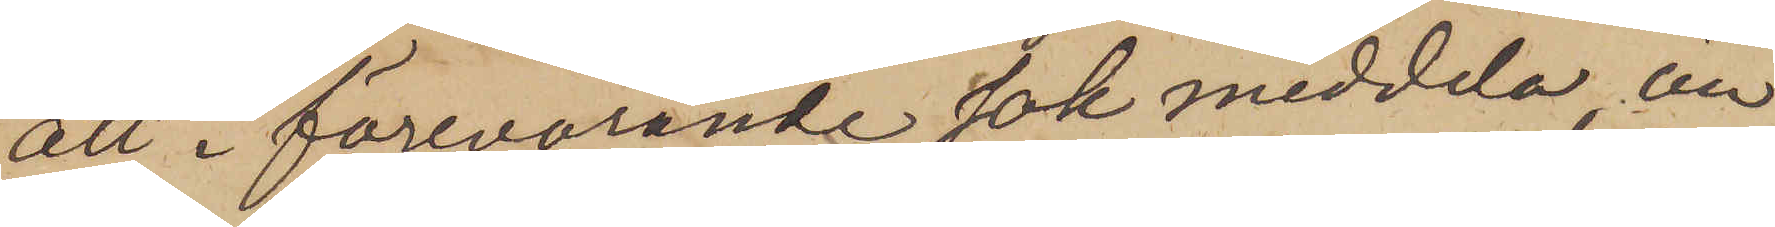att i förevarande sak meddela, än
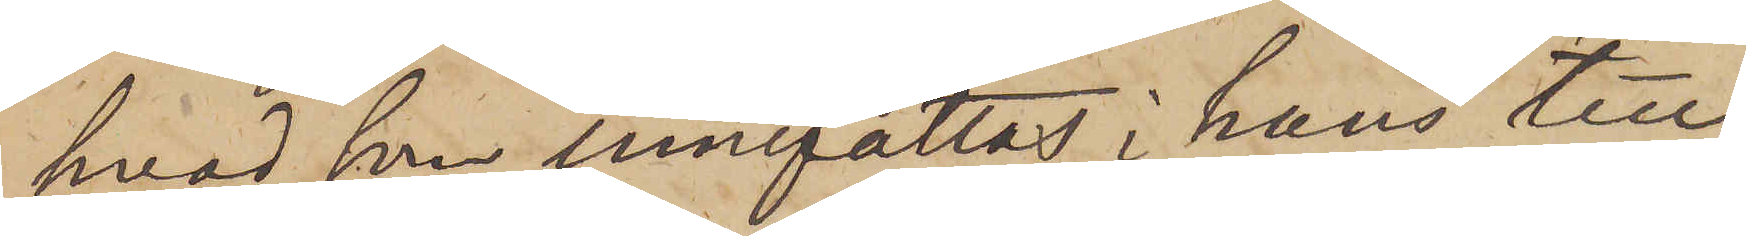hvad som innefattas i hans till
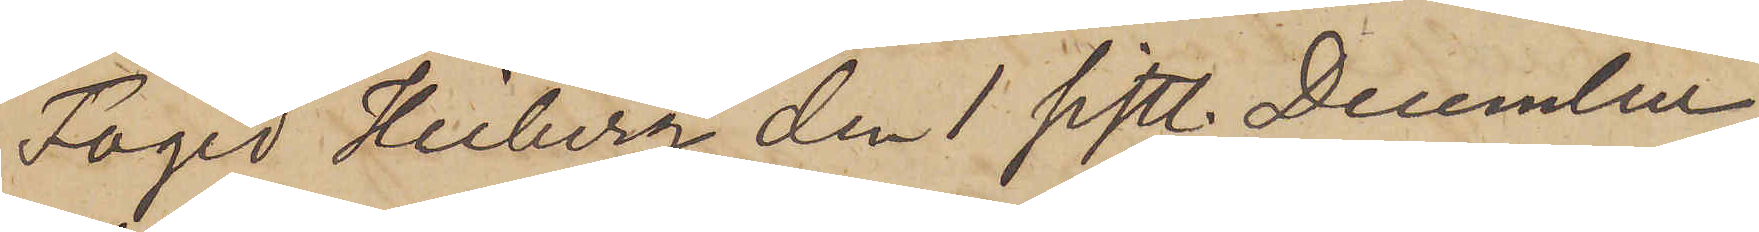Faged Heiberg den 1 sistl. December
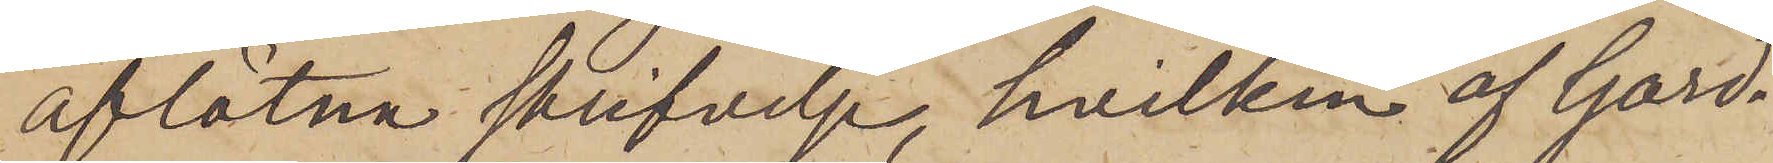aflåtna skrifvelse, hvilken af Gard¬
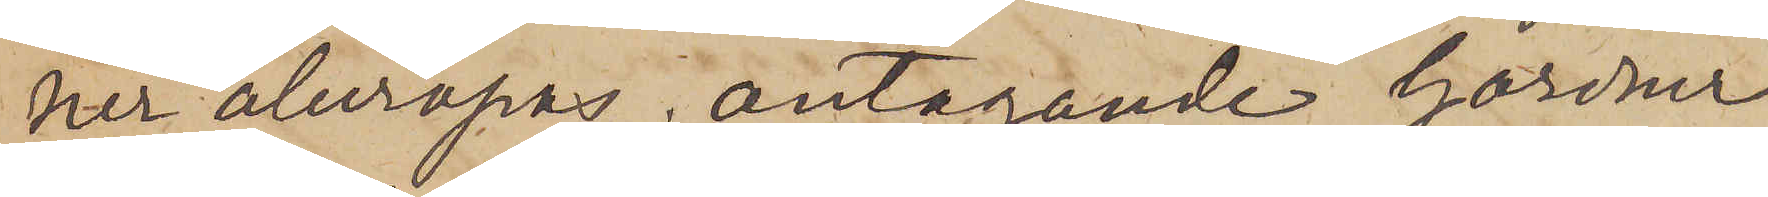ner åberopas, antagande Gardner
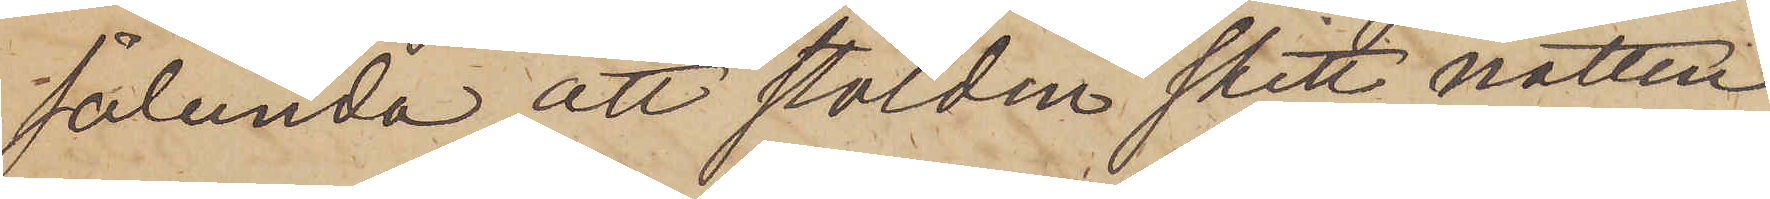sålunda, att stölden skett natten
